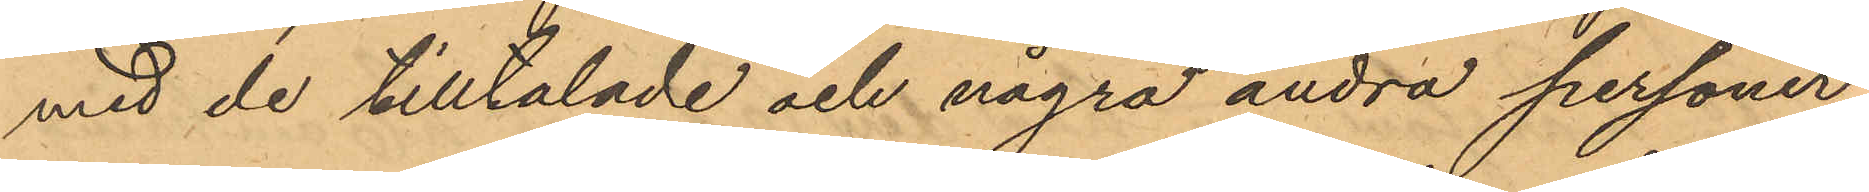med de tilltalade och några andra personer
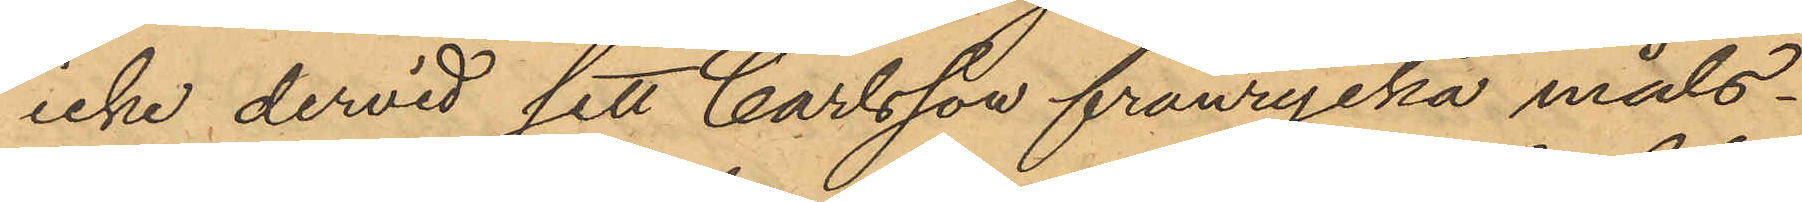icke dervid sett Carlsson frånrycka måls¬
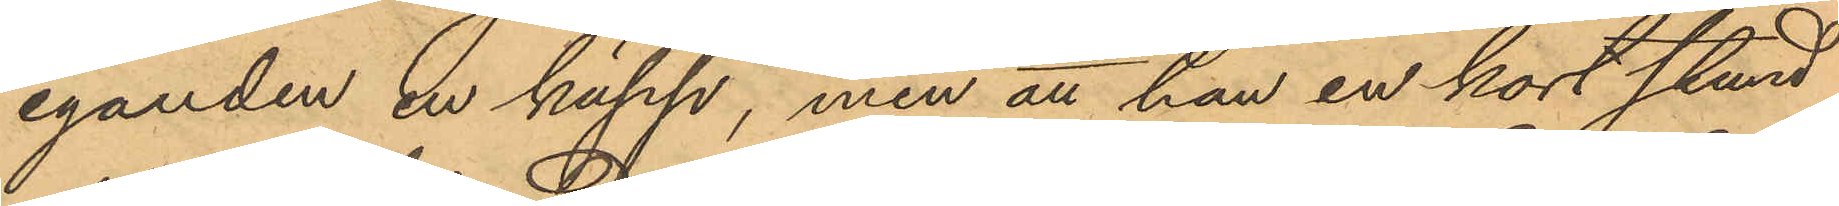eganden en käpp, men att han en kort stund
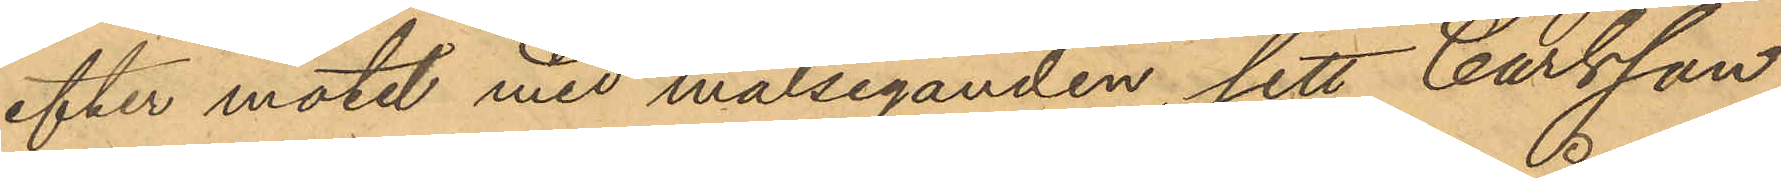efter mötet med målseganden, sett Carlsson
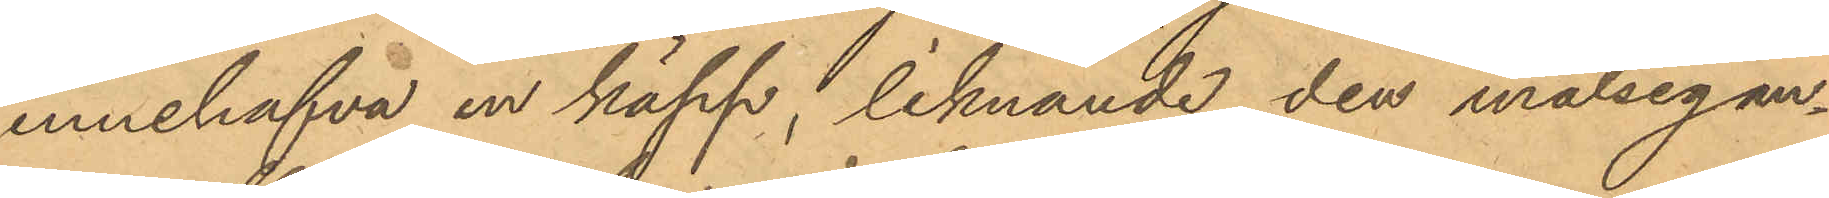innehafva en käpp, liknande den målsegan¬
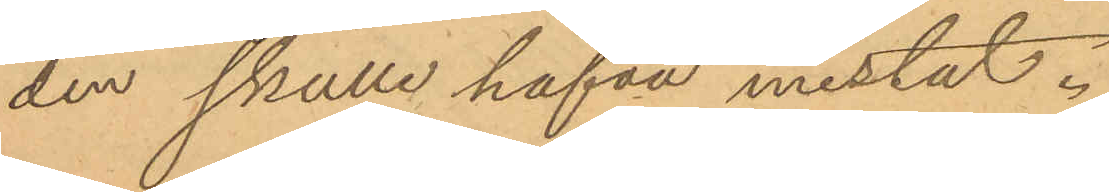den skulle hafva mistat.
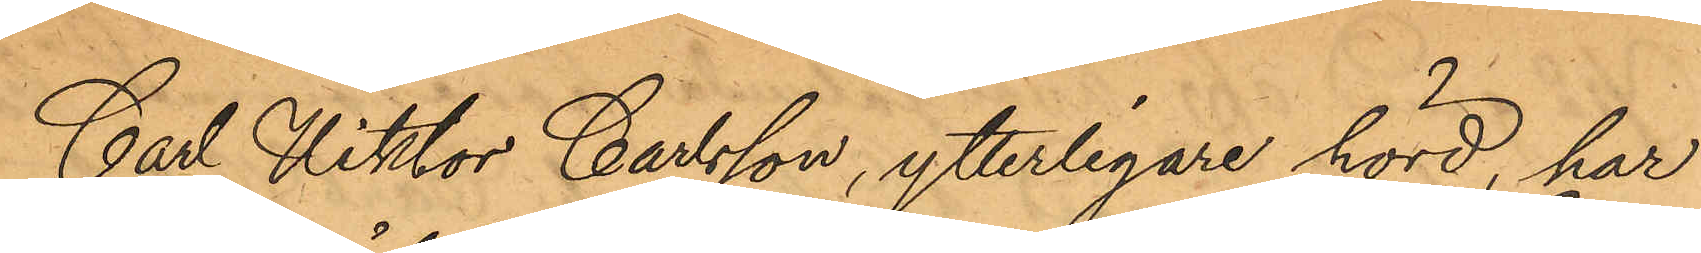Carl Viktor Carlsson, ytterligare hörd, har
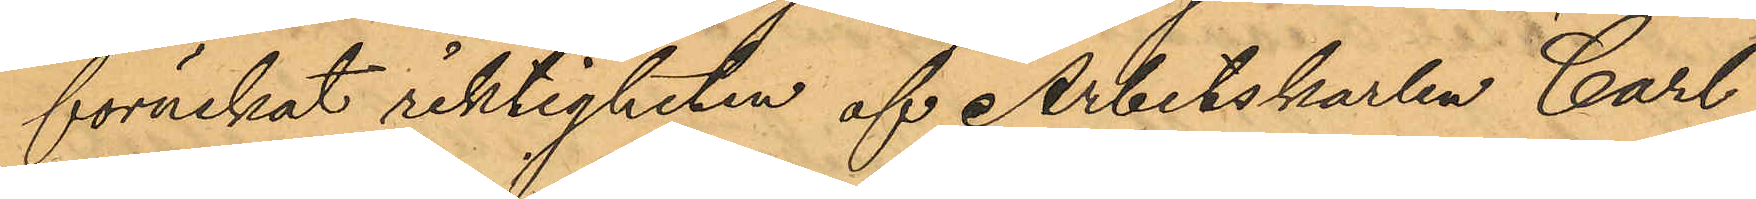förnekat riktigheten af Arbetskarlen Carl
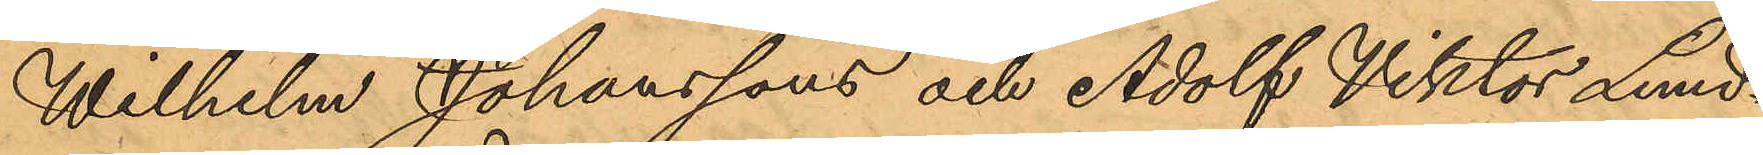Wilhelm Johanssons och Adolf Viktor Lund¬
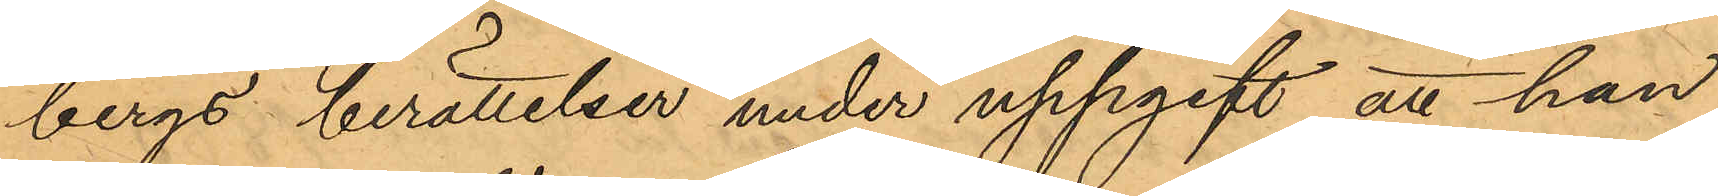bergs berättelser under uppgift att han
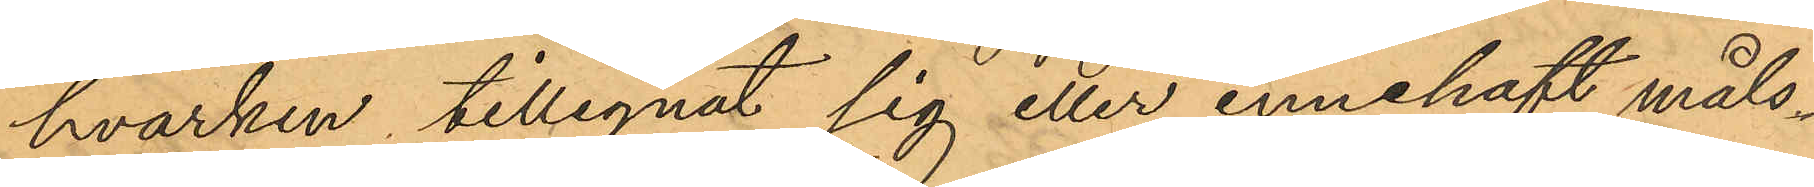hvarken tillegnat sig eller innehaft måls¬
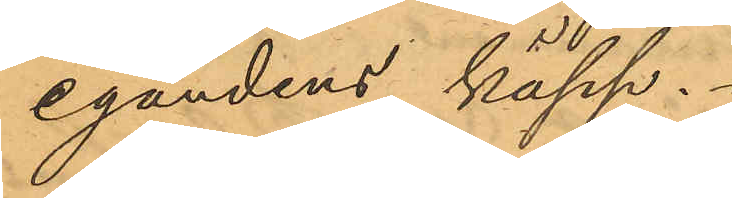egandens käpp.
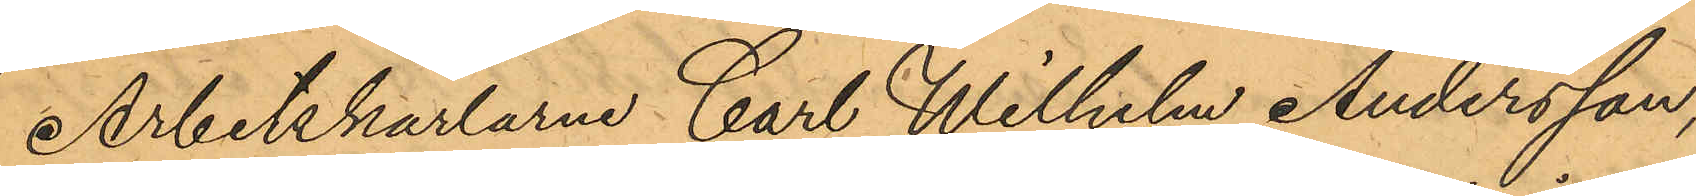Arbetskarlarne Carl Wilhelm Andersson,
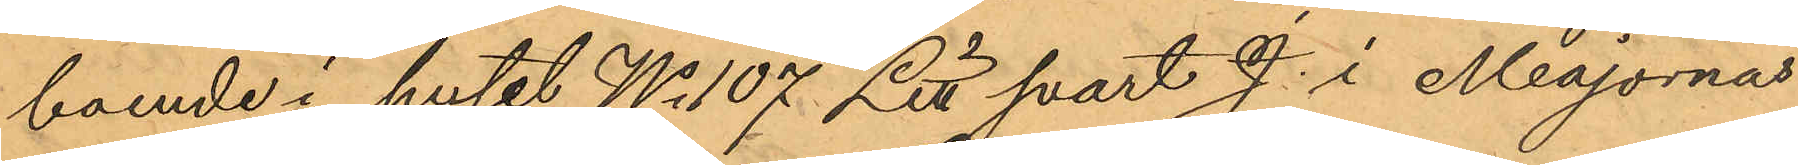boende i huset No 107 Litt svart J. i Majornas
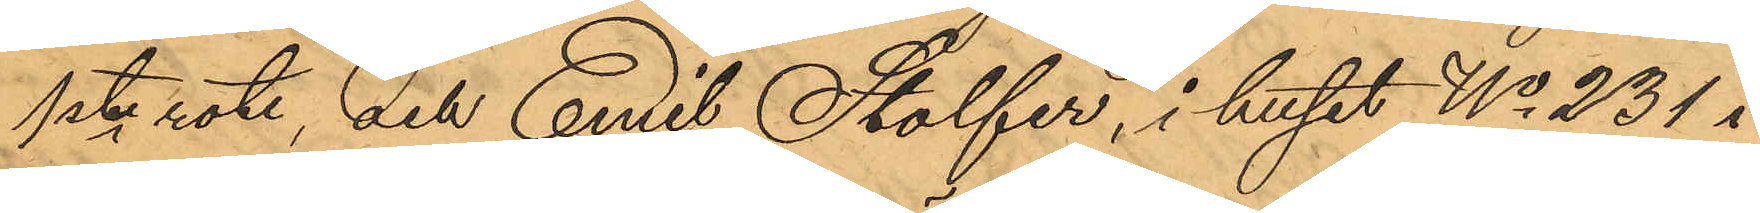1ste rote, och Emil Stolfer, i huset No 231 i
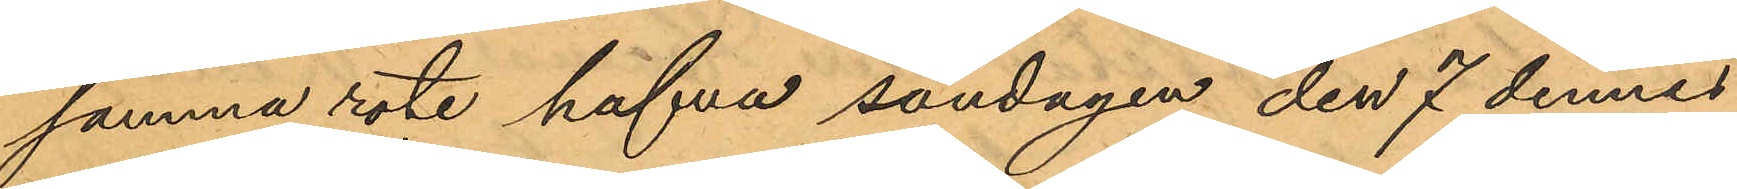samma rote hafva söndagen den 7 dennes
